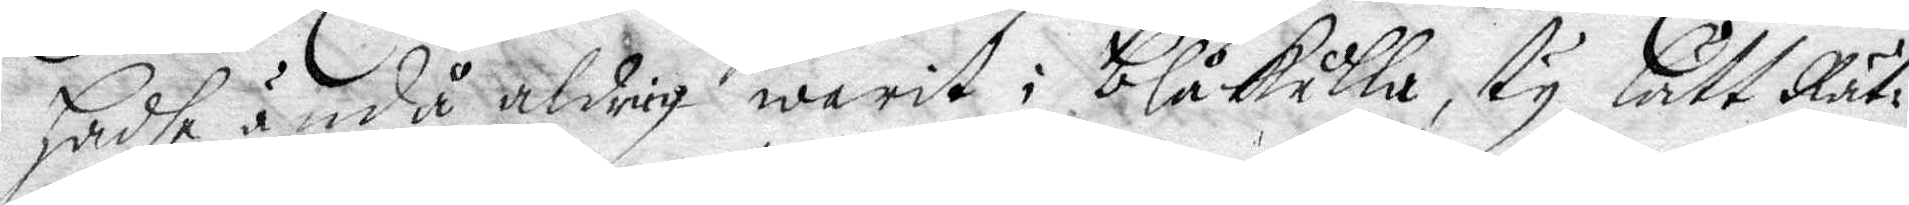hadhe ändå aldrig warit i blåkulla, ty lått Rät¬
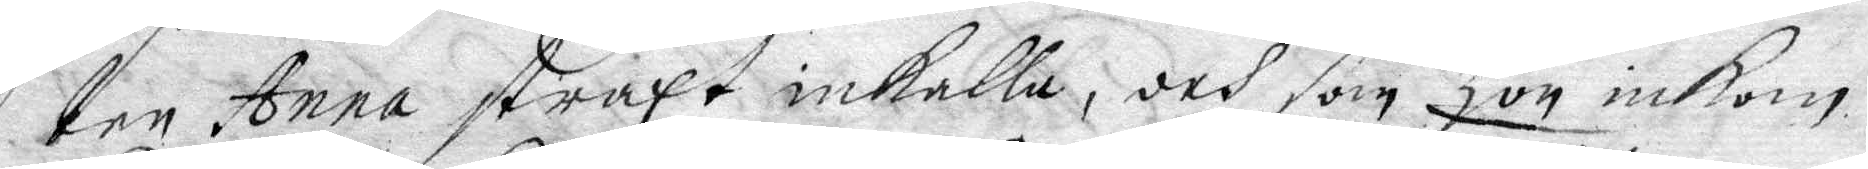ten Anna straxt inkalla, och som hon inkom
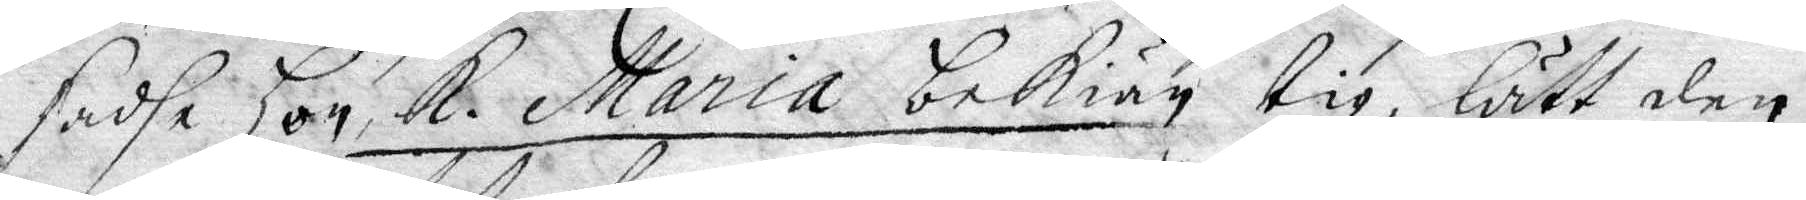sadhe hon K. Maria bekiän tig, lätt den 
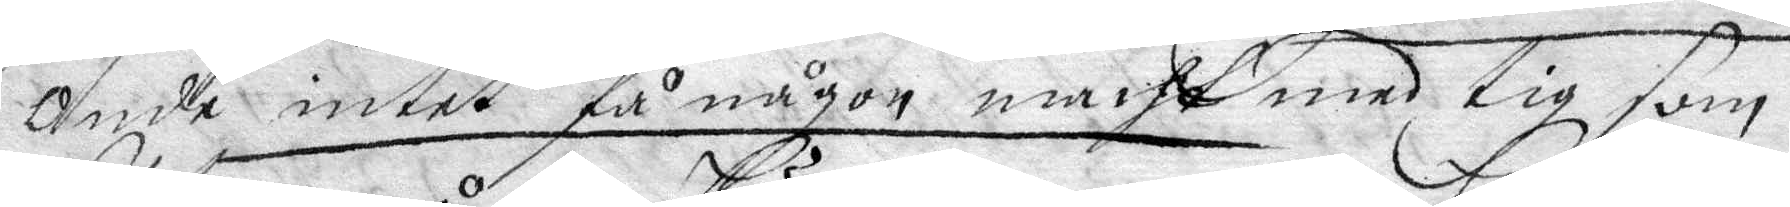Onde intet få någon macht med tig som
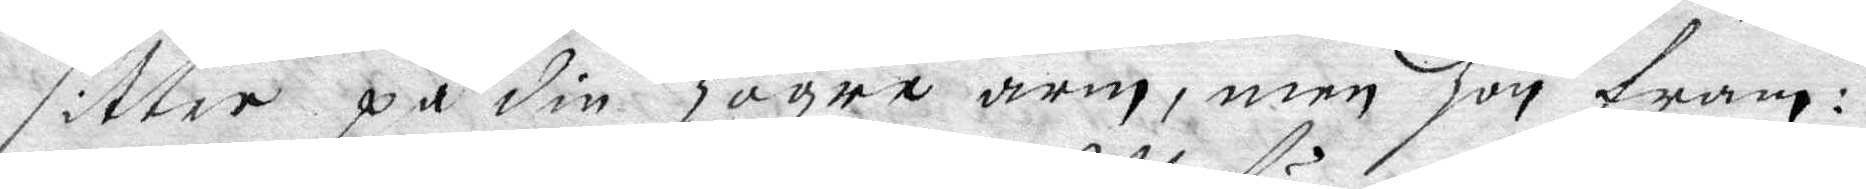sitter på din Högra arm, men hon fram¬
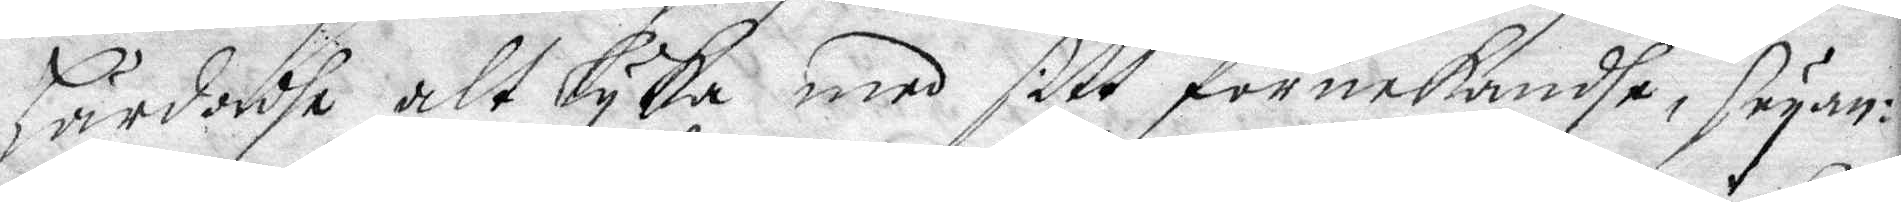härdadhe alt lyka med sitt förnekandhe, seyan¬
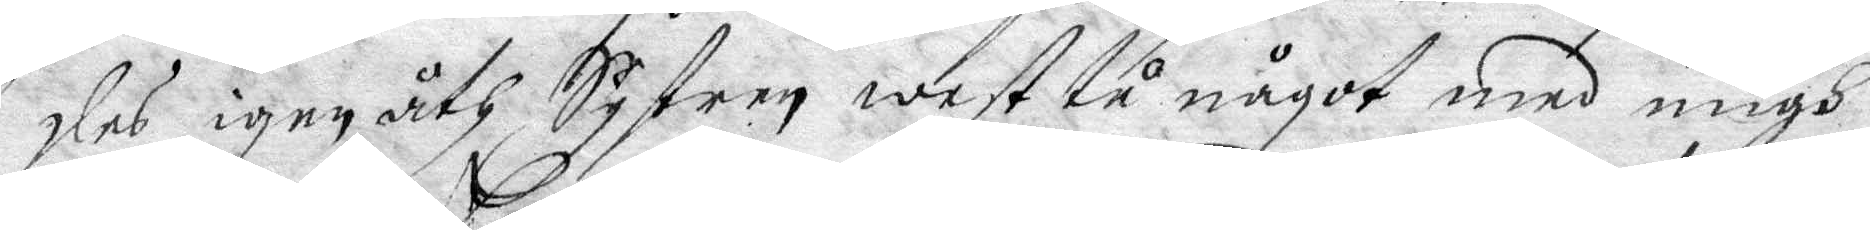des igen åth Systren west tu något med migh
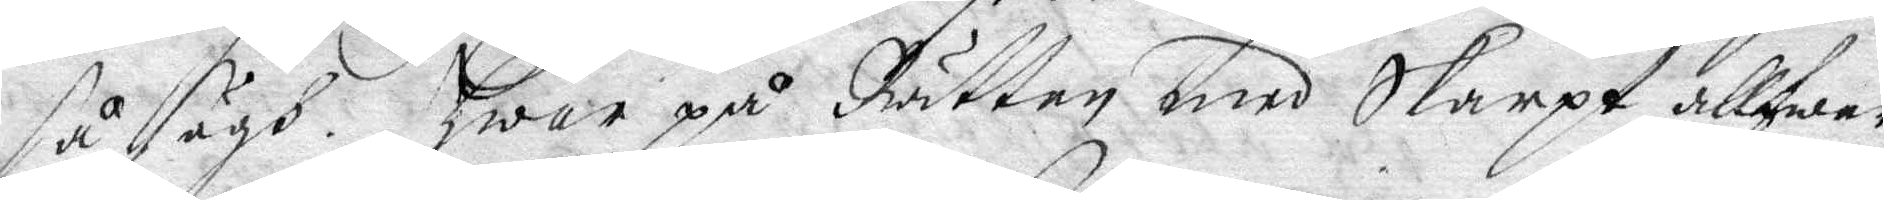så sägh. Hwar på Rätten med Skarpt allfwar
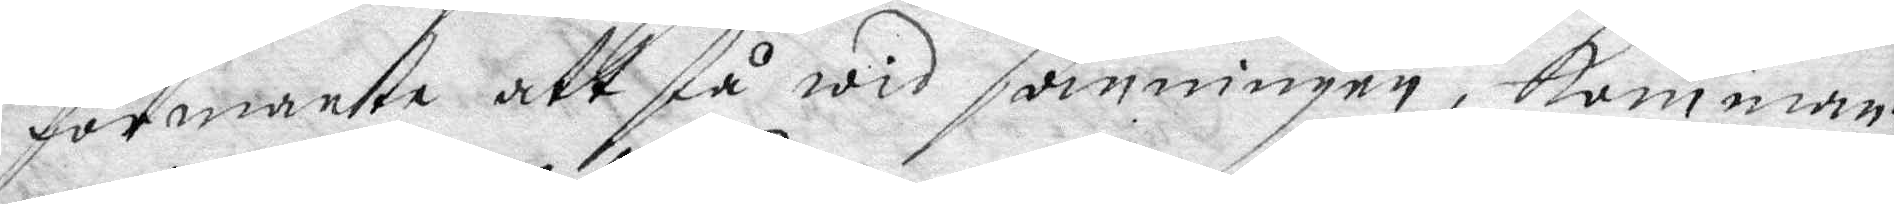förmante att stå wid sanningen, komman¬
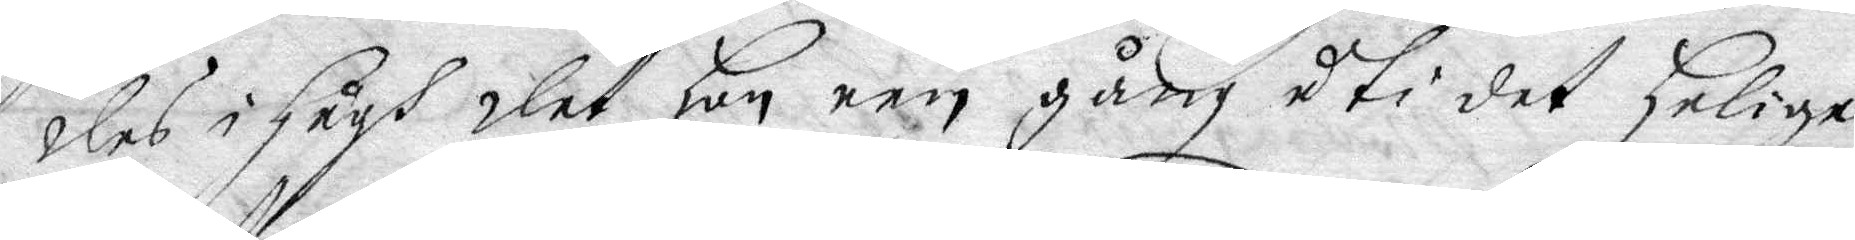des i hågh det hon een gång uti det Helige
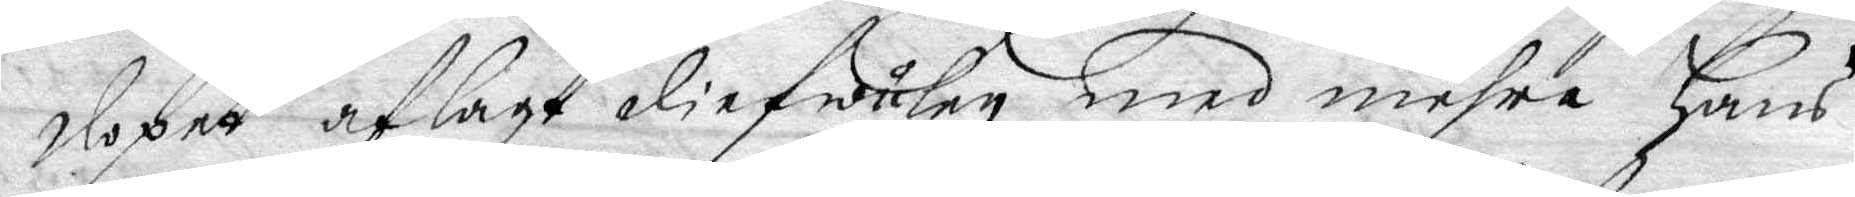dopet aflagt diefwulen med mehra Hans
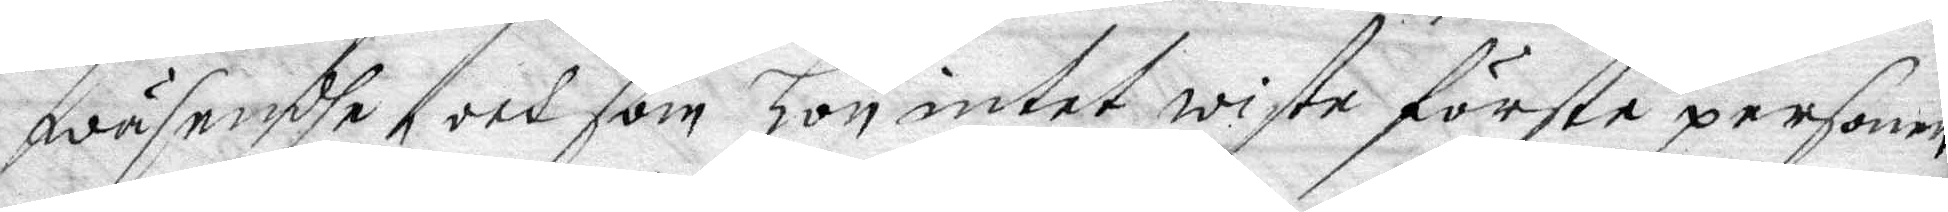wäsendhe, och som hon intet wiste förste personen
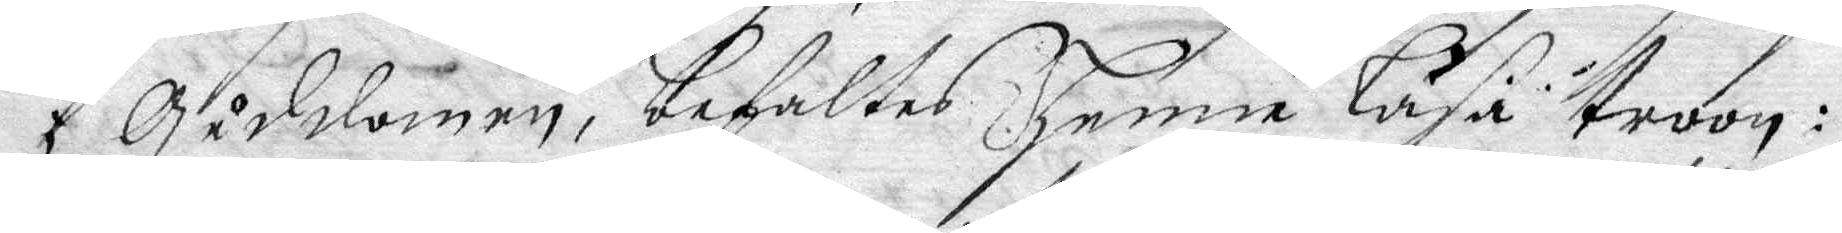i Guddomen, befaltes henne läsa troon:
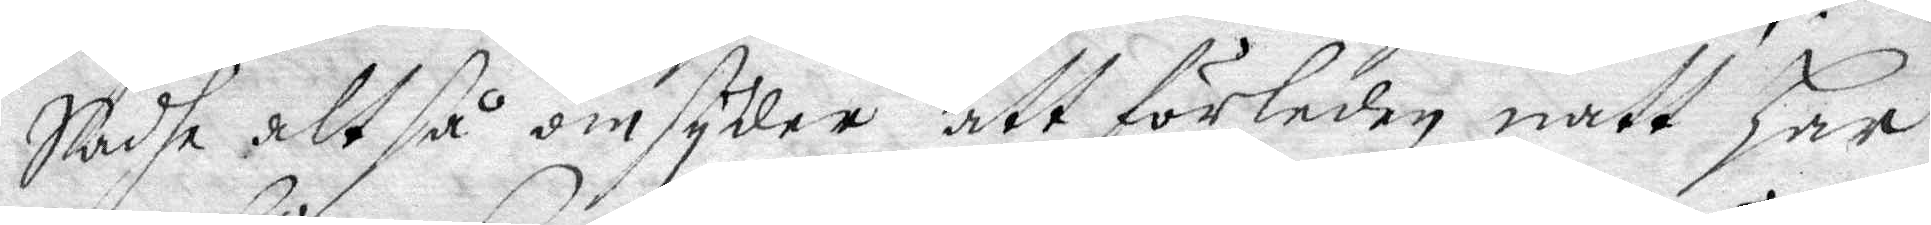Sadhe alt så omsyder att förleden natt har
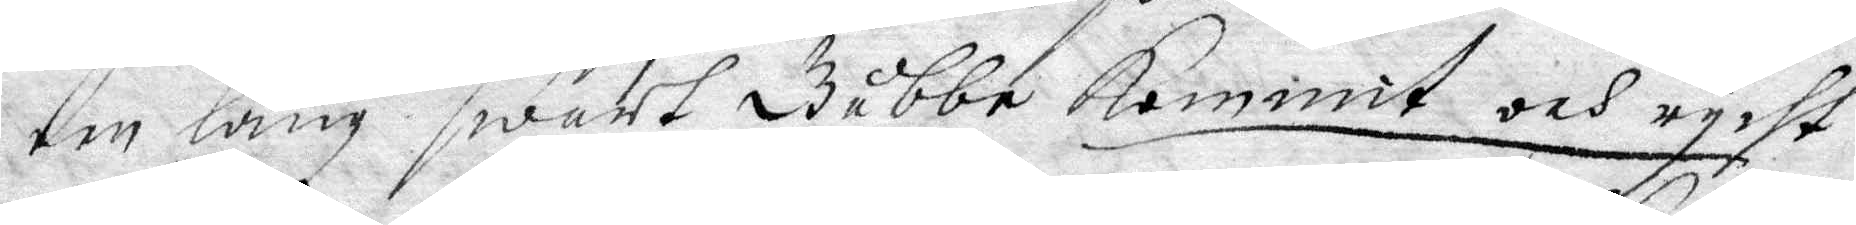een lång swart Gubbe kommit och rycht
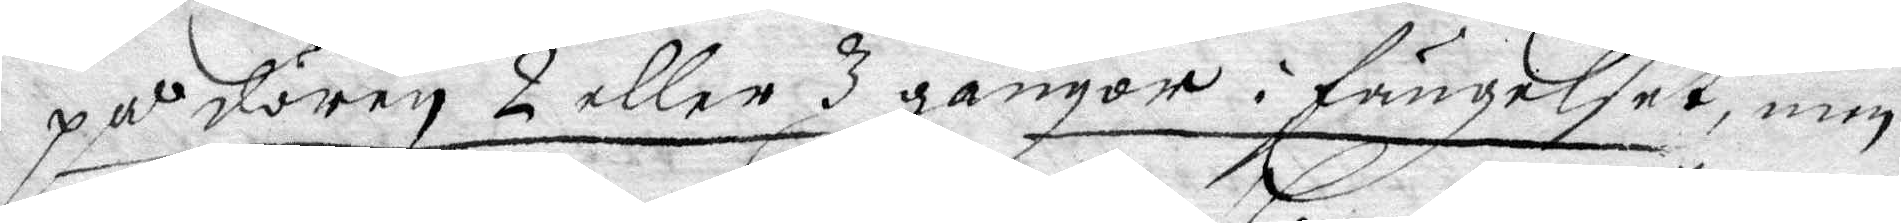på dören 2 eller 3 gångor i fängelset, min
